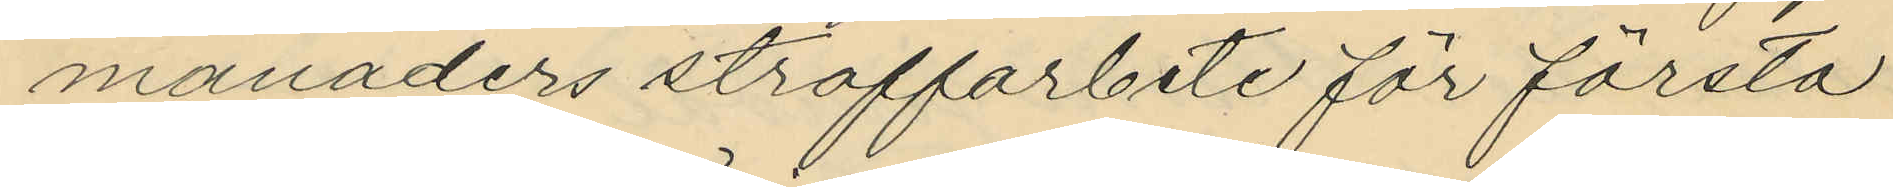månaders straffarbete för första
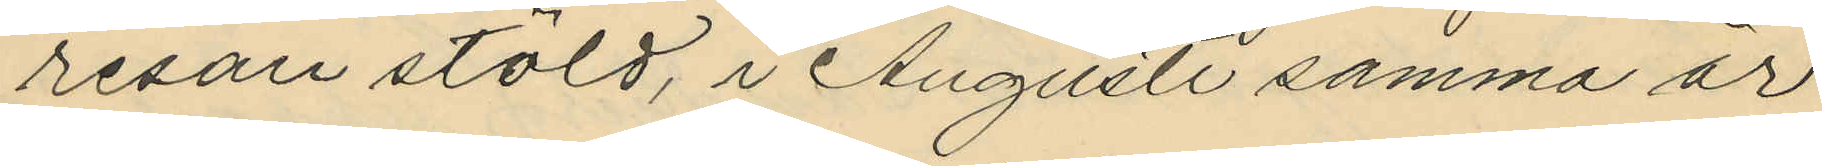resan stöld, i Augusti samma år
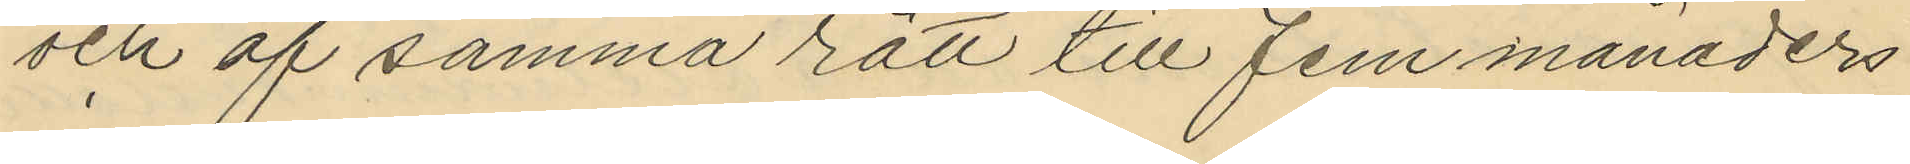och af samma rätt till fem månaders
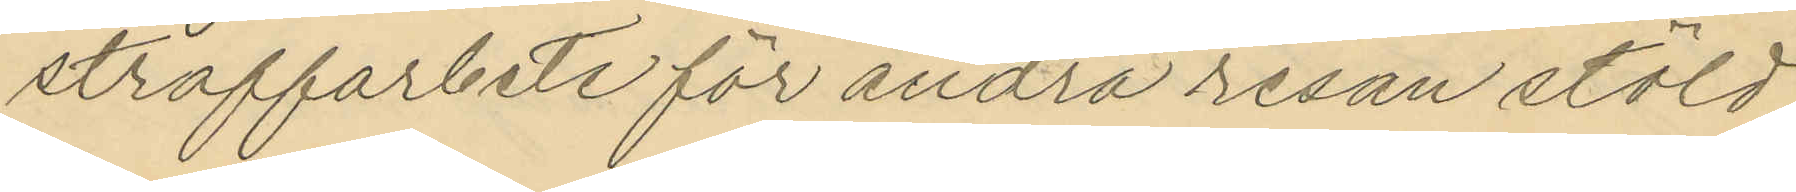straffarbete för andra resan stöld
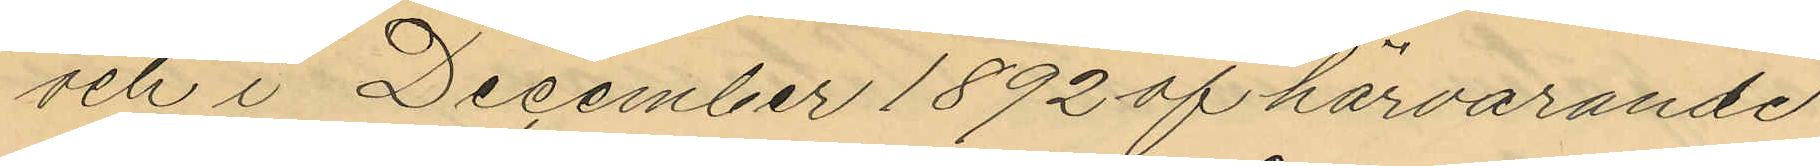och i December 1892 af härvarande
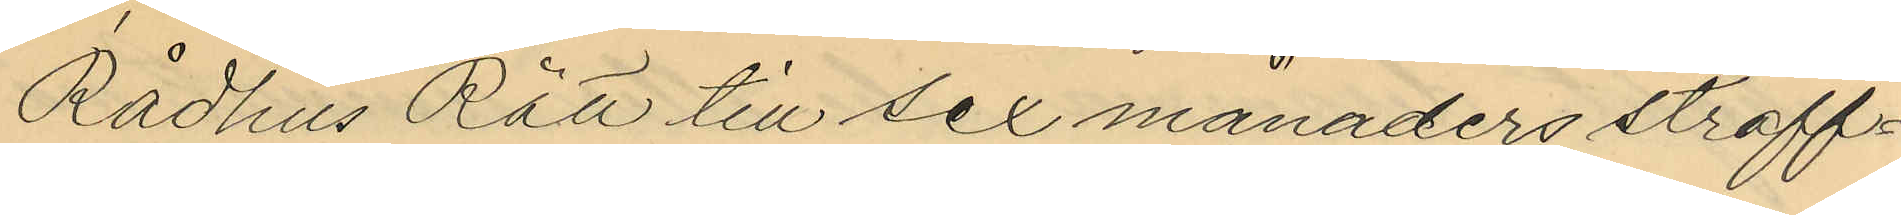Rådhus Rätt till sex månaders straff¬
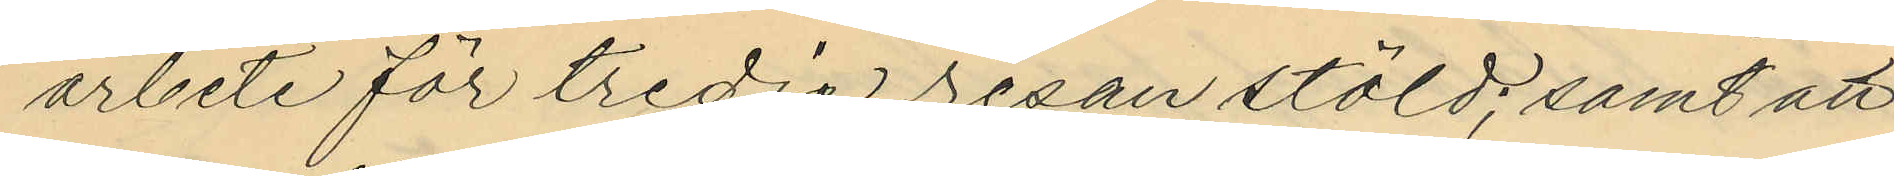arbete för tredje resan stöld; samt att
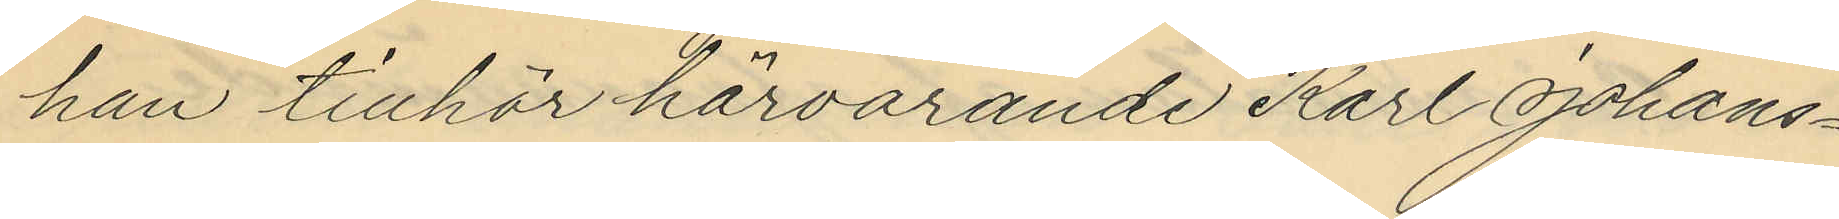han tillhör härvarande Karl Johans¬
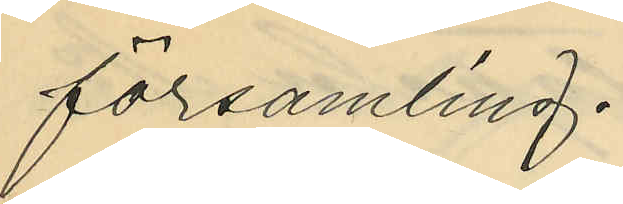församling.
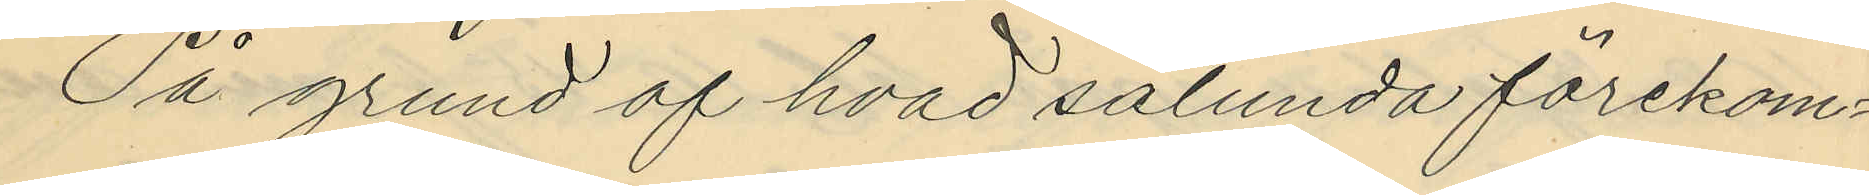På grund af hvad sålunda förekom¬
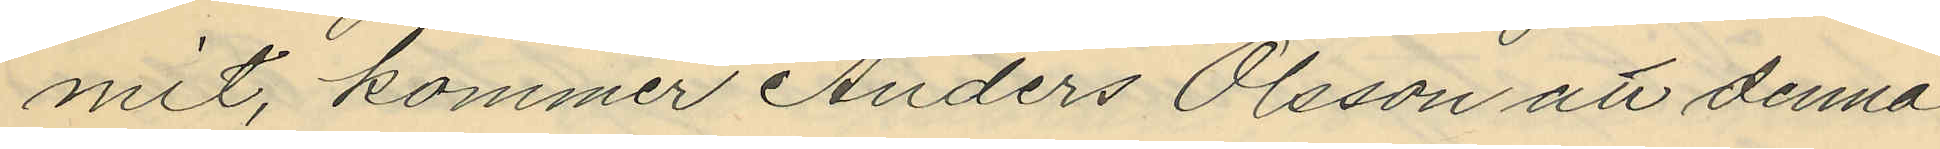mit, kommer Anders Olsson att denna
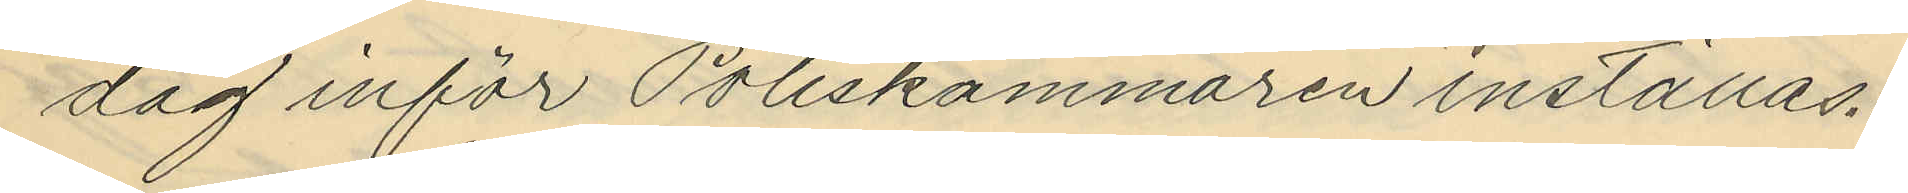dag inför Poliskammaren inställas.
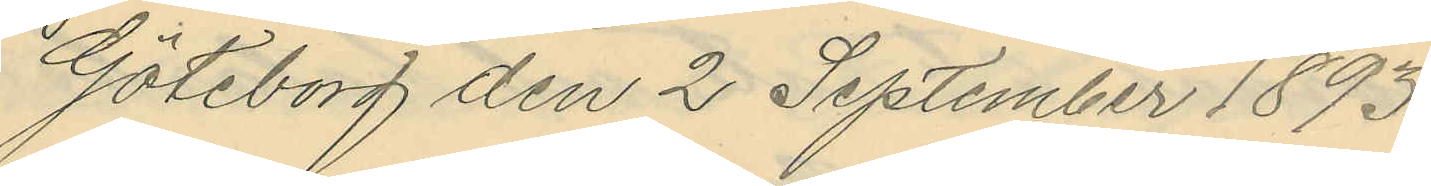Göteborg den 2 September 1893.
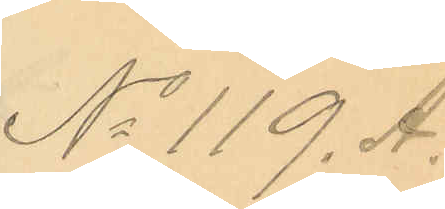No 119. A.
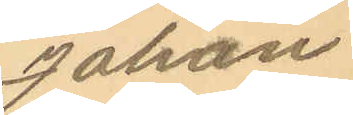Johan
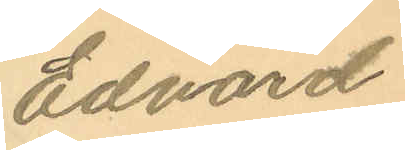Edvard
